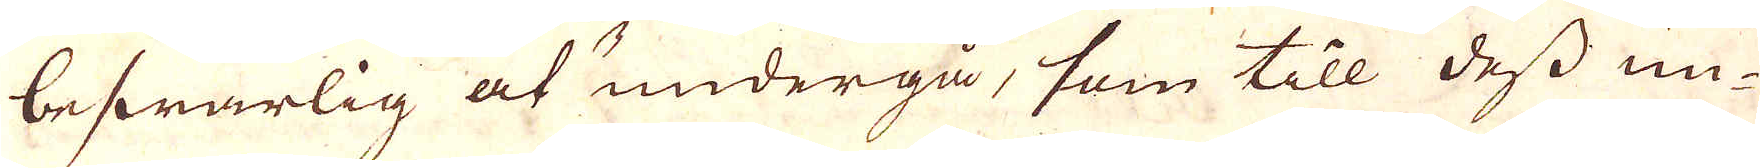beswärlig at undergå, som till dess un-
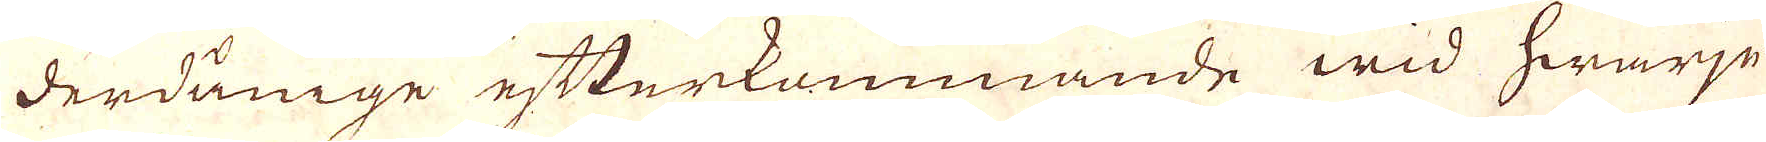derdåninge efterkommande wid hwarje-
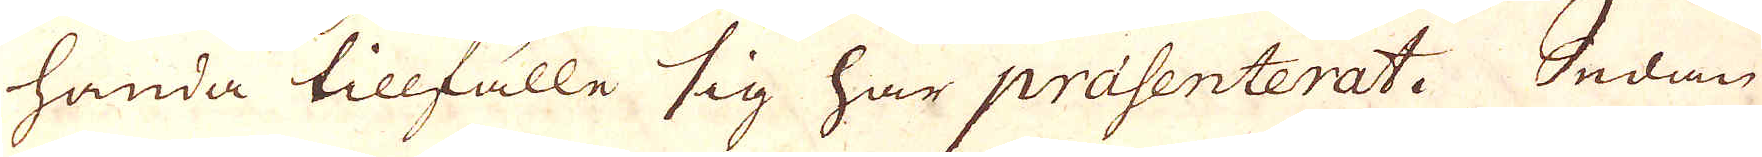handa tillfälle sig har prasenterat. Sedan
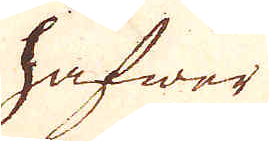hafwer
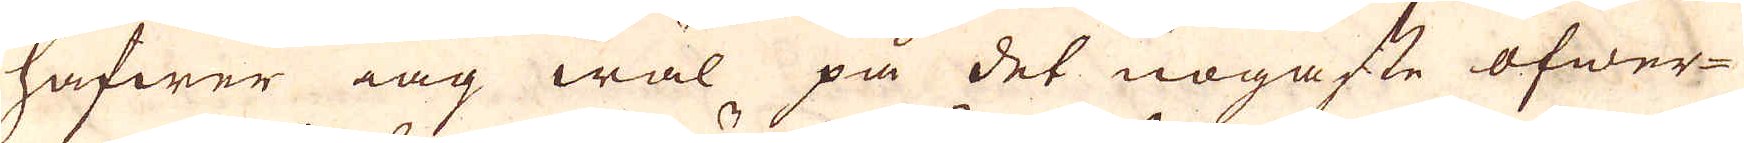hafwer iag wal på det nogafte öfwer-
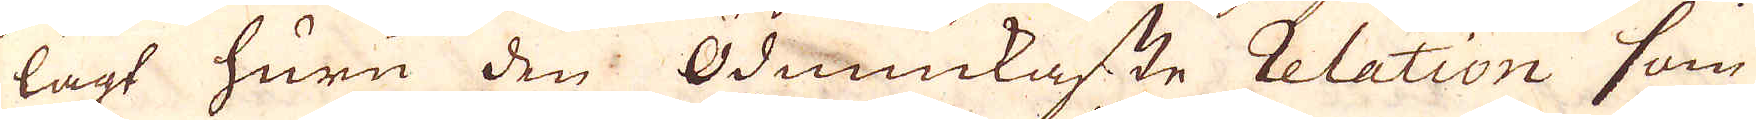lagt huru den Ödmiukaste relation som
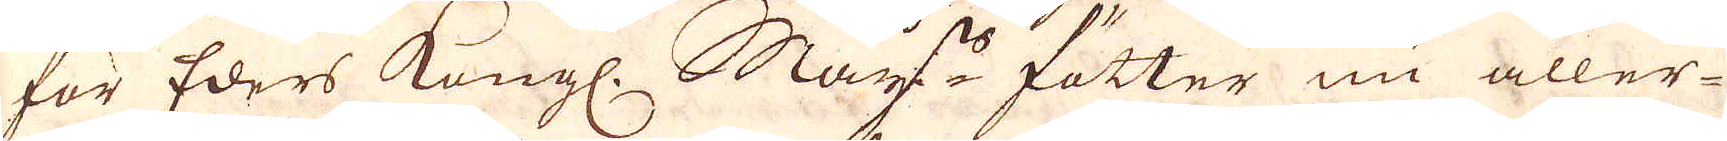för Eders Kungl. May:ts fötter nu aller-
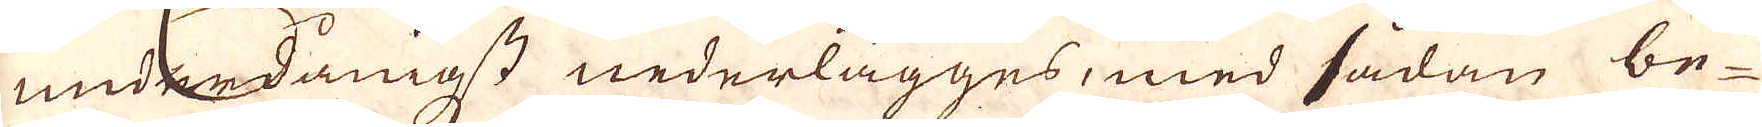underdånigst nederlägges, med sådan be-
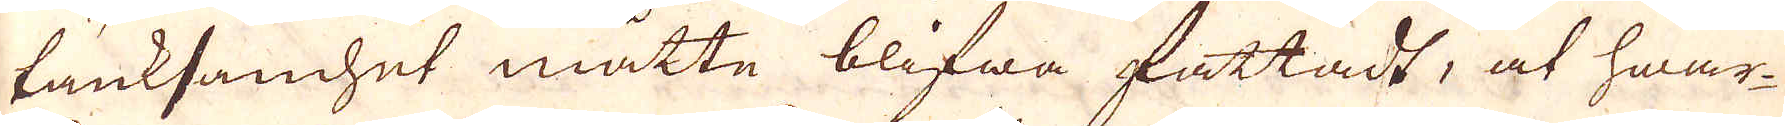tänksamhet måtte blifwa fattadt, at hwar-
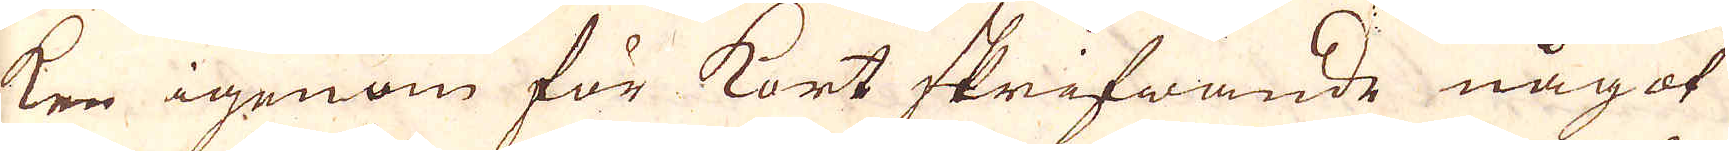ken igenom för kort skrifwande något
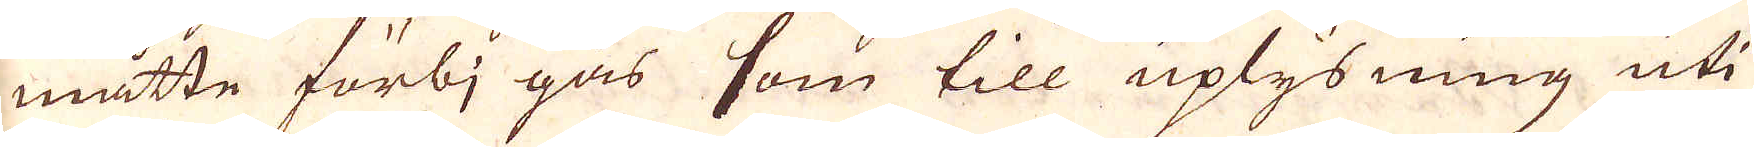måtte förbi gås som till uplysning uti
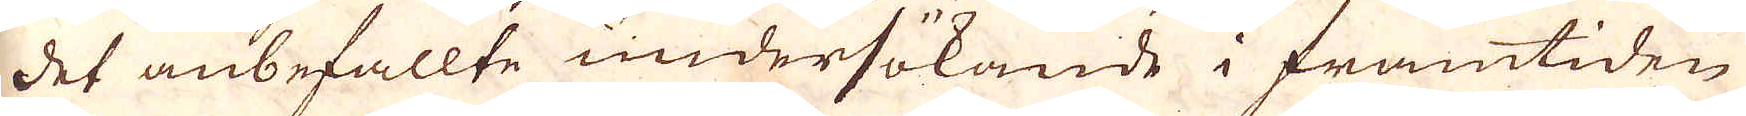det anbefallte undersökande i framtiden
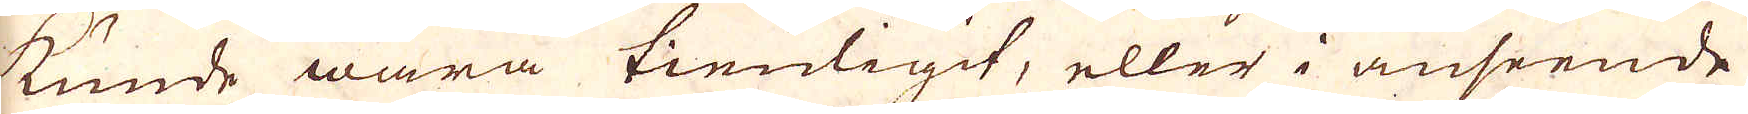kunde wara tienligt, eller i anseende
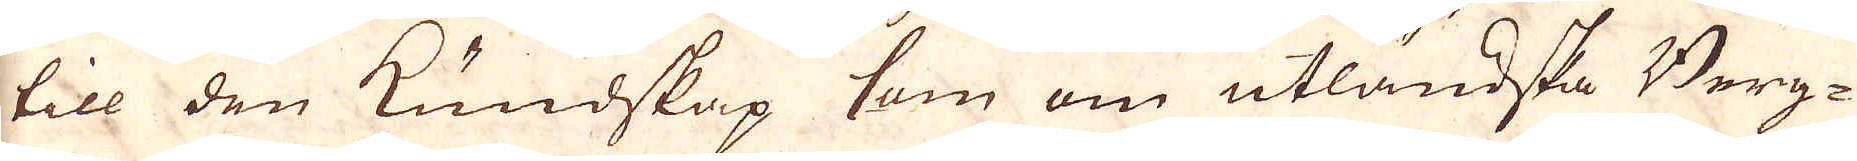till den kundskap som om utländska Berg-
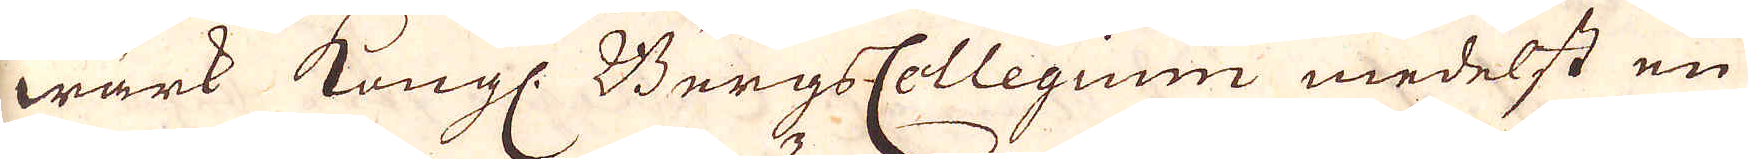wärk Kungl. BergsCollegium medelst en
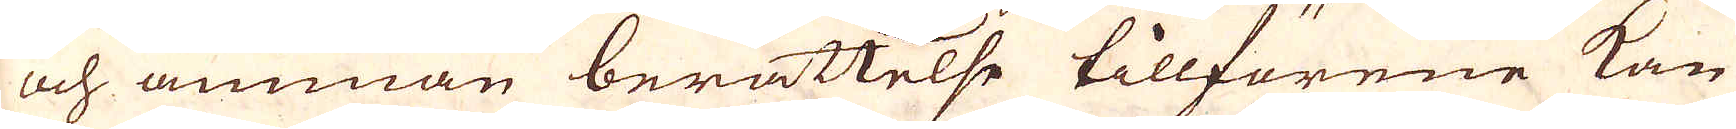och annan berättelse tillförene kan
